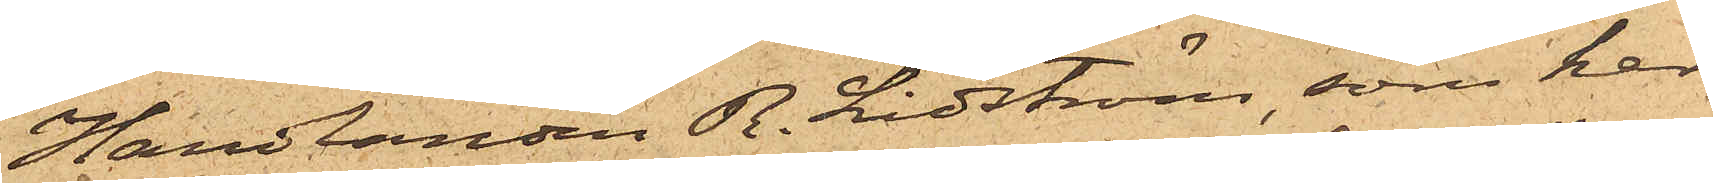Handlanden R. Lidström, som har
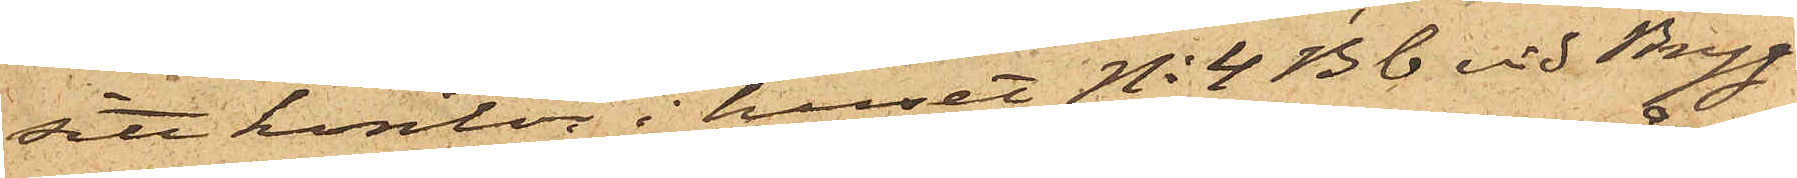sitt kontor i huset No 4 Bb vid Bryg¬
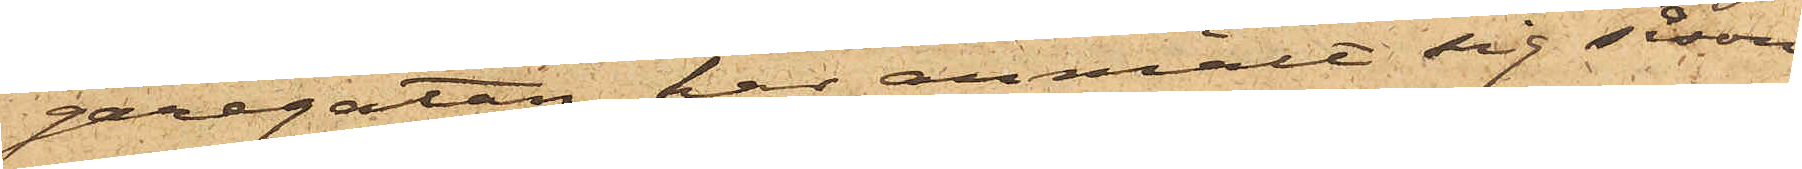garegatan har anmält sig såsom
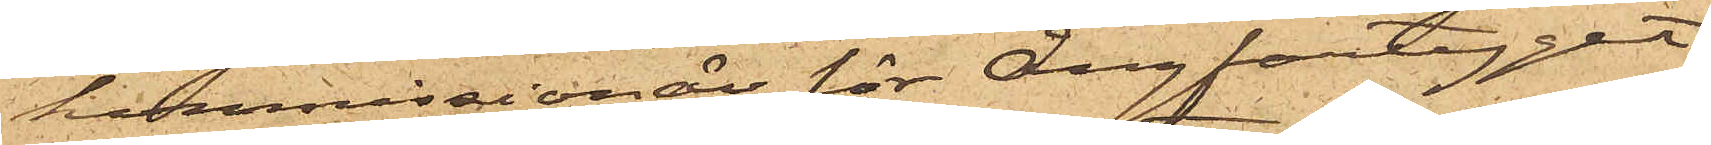kommissionär för Ångfartyget
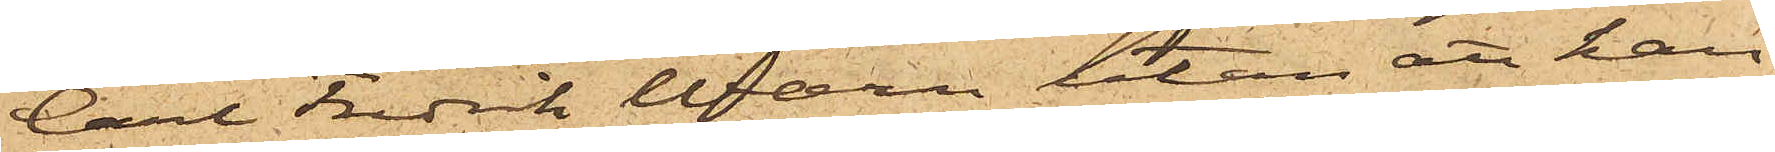Carl Fredrik Wærn utan att han
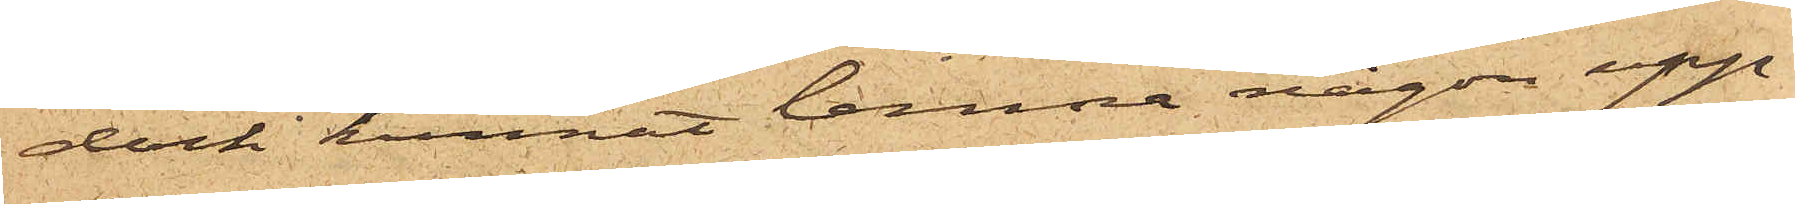dock kunnat lemna någon upp¬
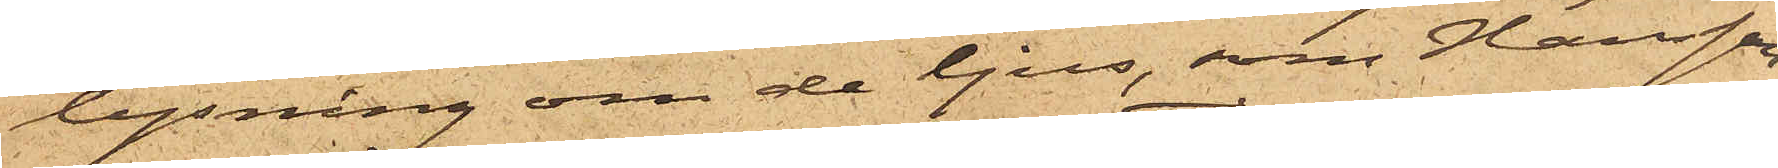lysning om de ljus, som Hansson
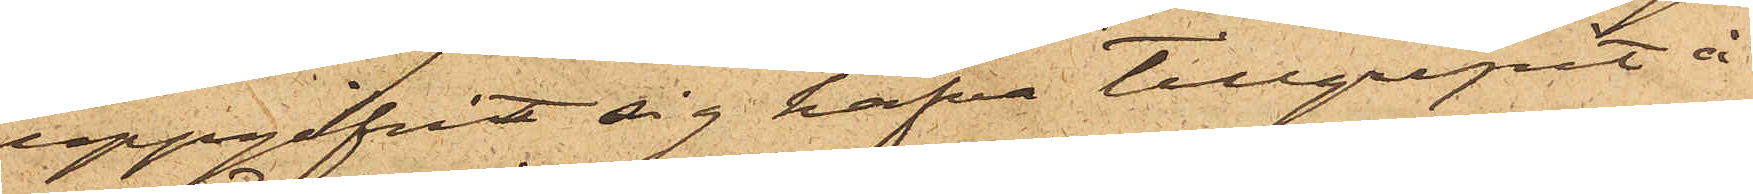uppgifvit sig hafva tillgripit å
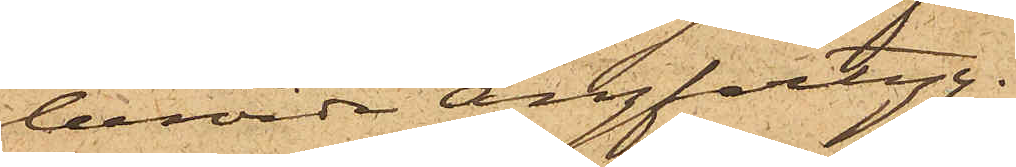berörde Ångfartyg.
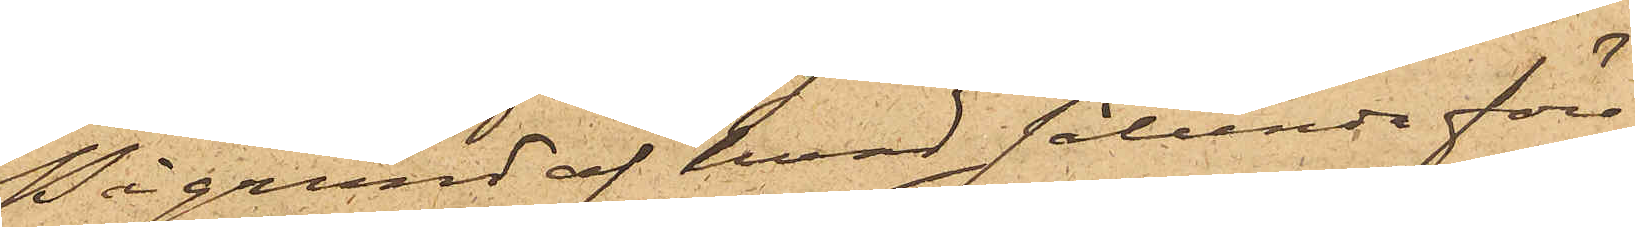På grund af hvad sålunda före¬
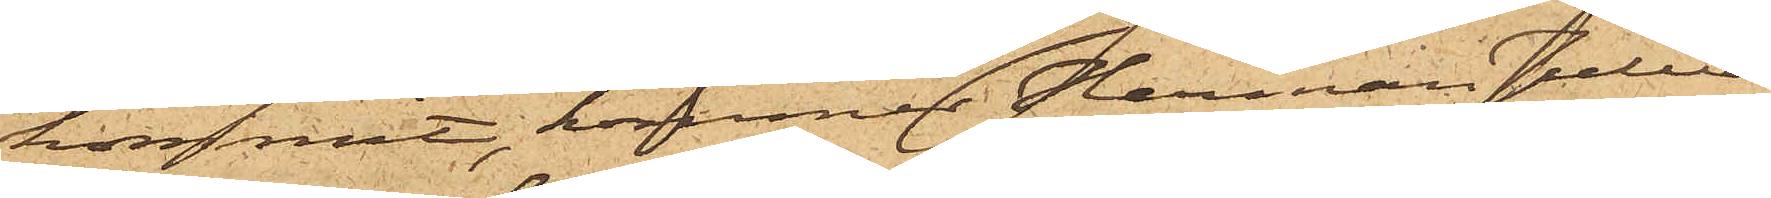kommit, kommer Herman Julius
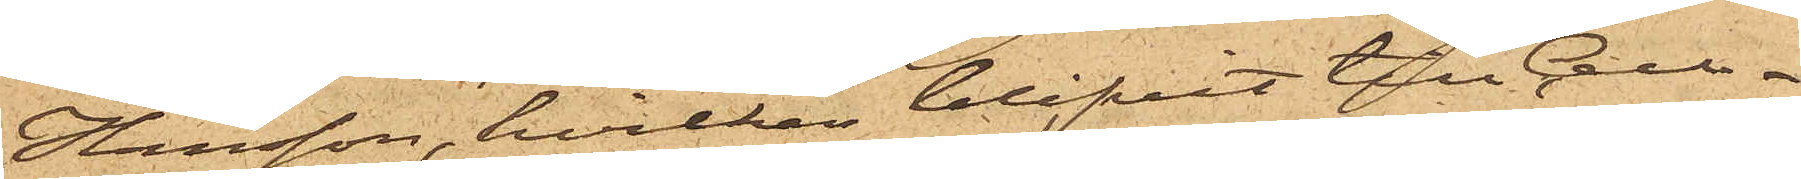Hansson, hvilken blifvit till Cell¬
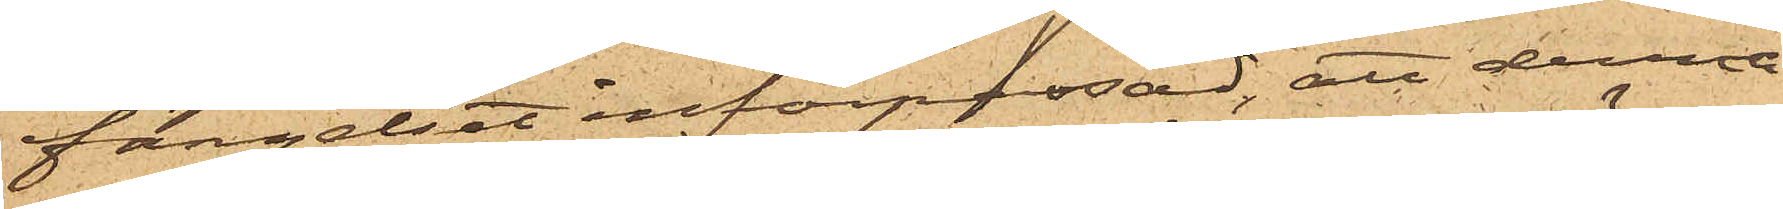fängelset införpassad, att denna
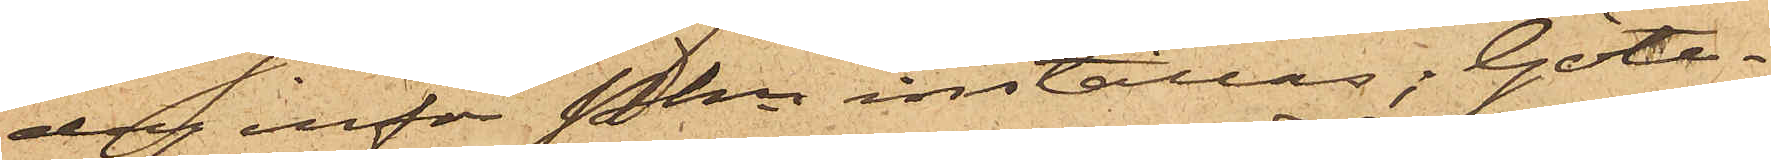dag inför Pkn inställas. Göte¬
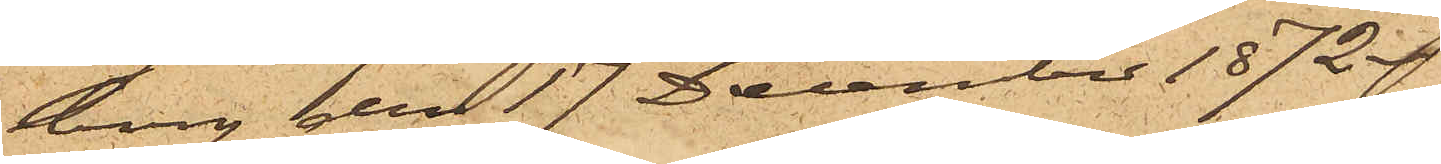borg den 17 December 1872.
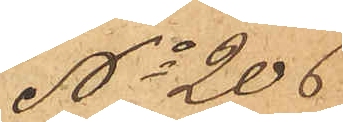No 206
